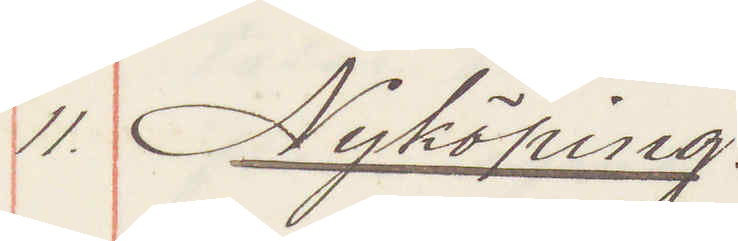11 Nyköping:
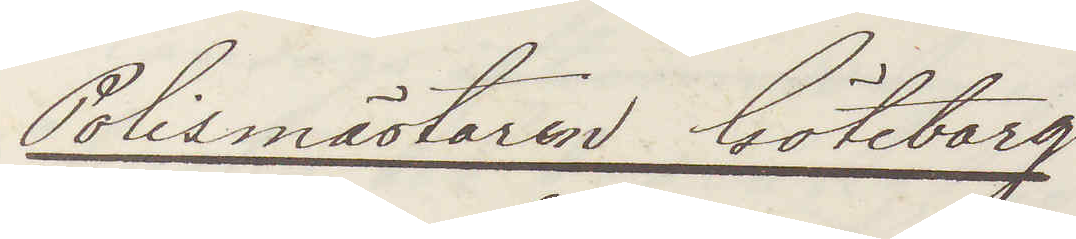Polismästaren Göteborg
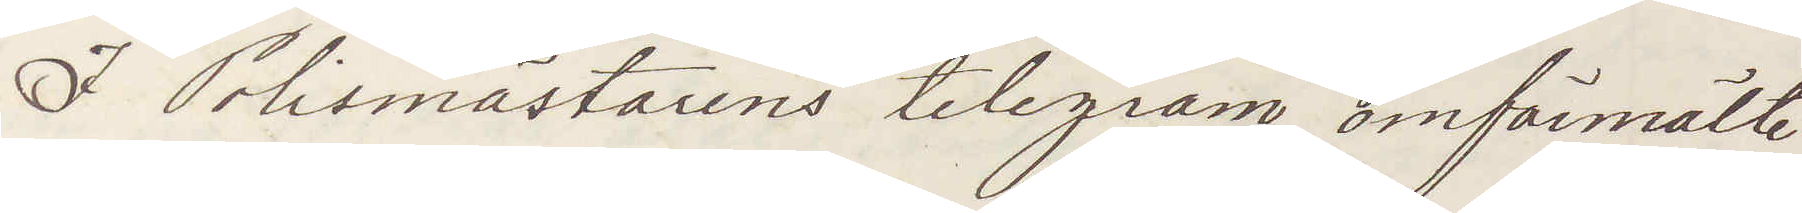I Polismästarens telegram omförmälte
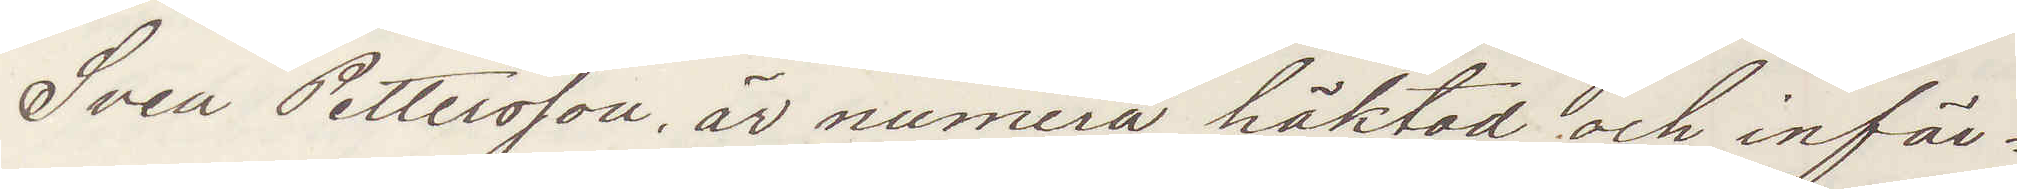Sven Pettersson är numera häktad och inför¬
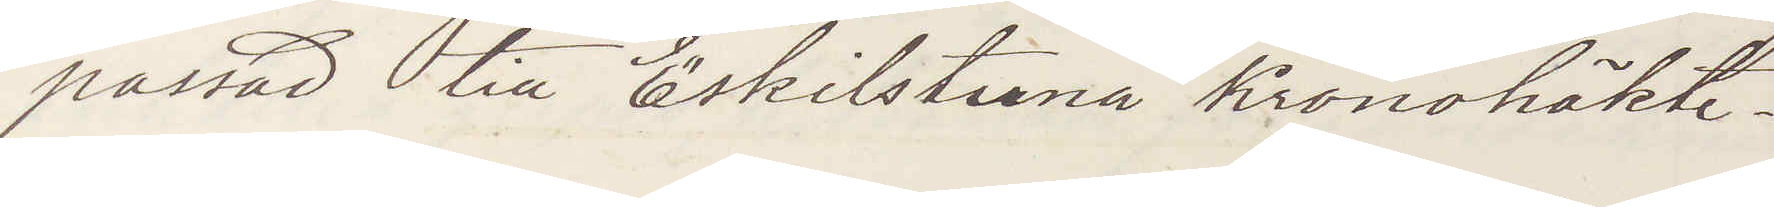passad till Eskilstuna Kronohäkte.
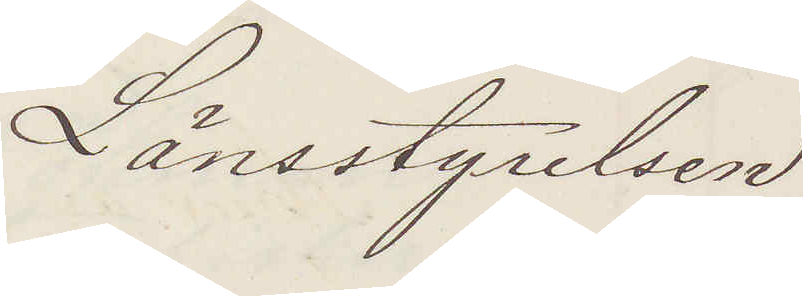Länsstyrelsen
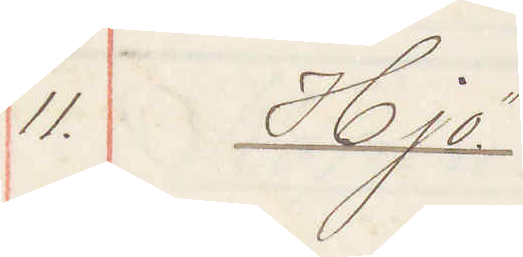11. Hjo
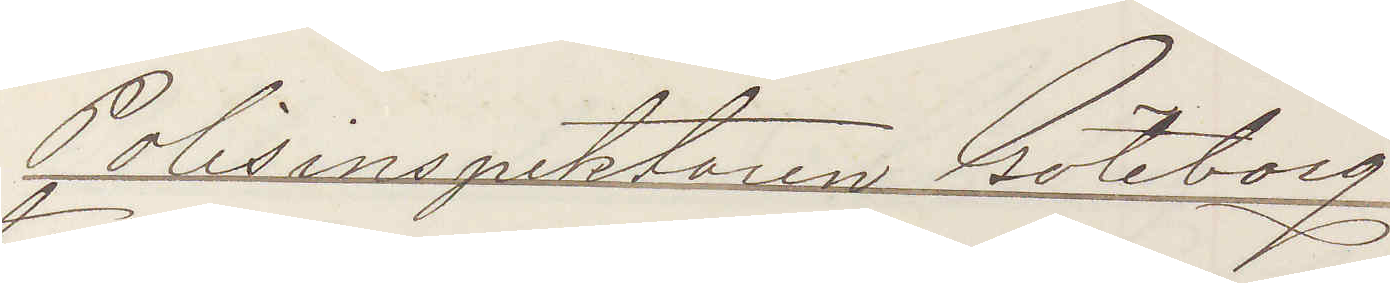Polisinspektorn Göteborg
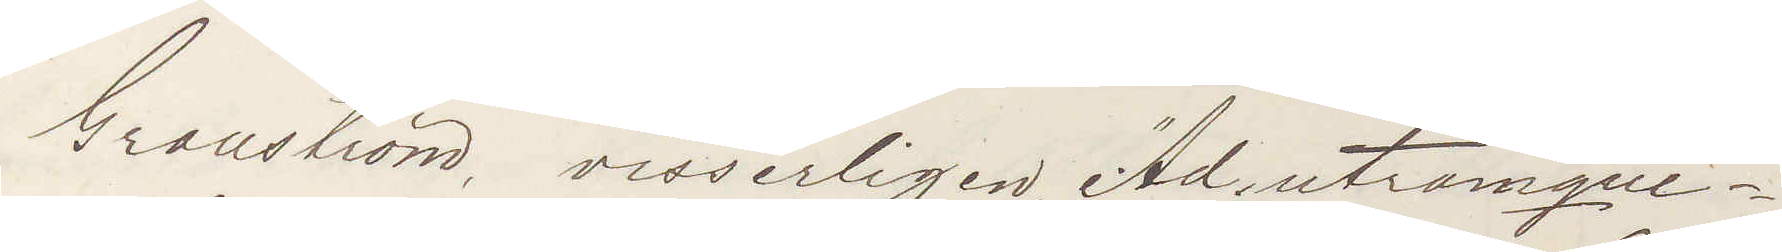Granström, visserligen, "Ad utrumque¬
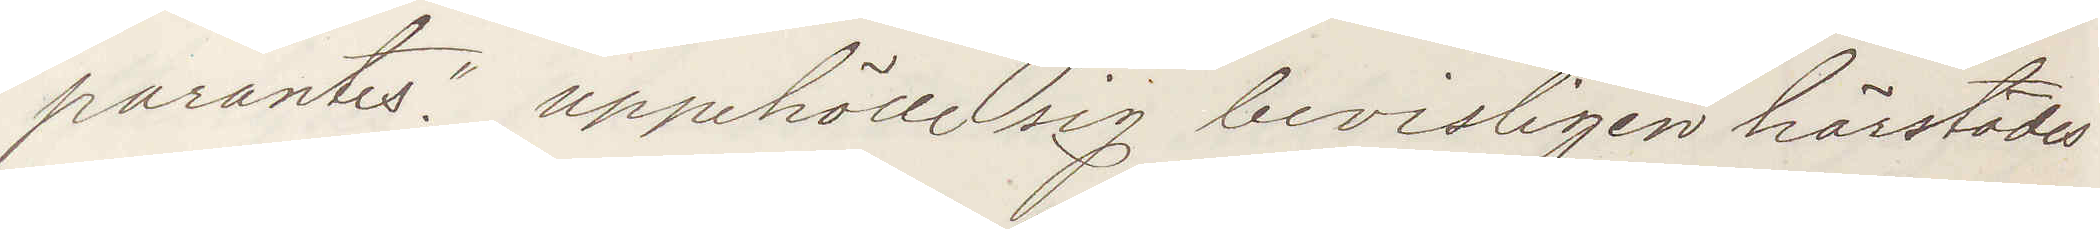parantes." uppehöll sig bevisligen härstädes
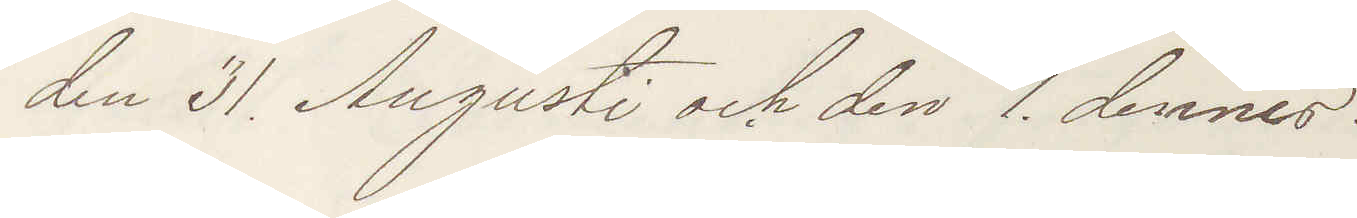den 31 Augusti och den 1 dennes
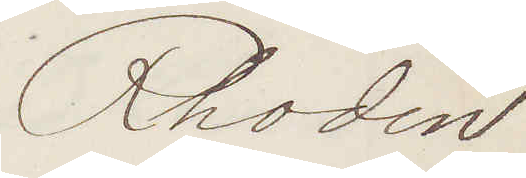Rhodin
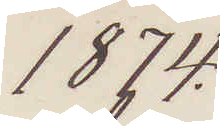1874.
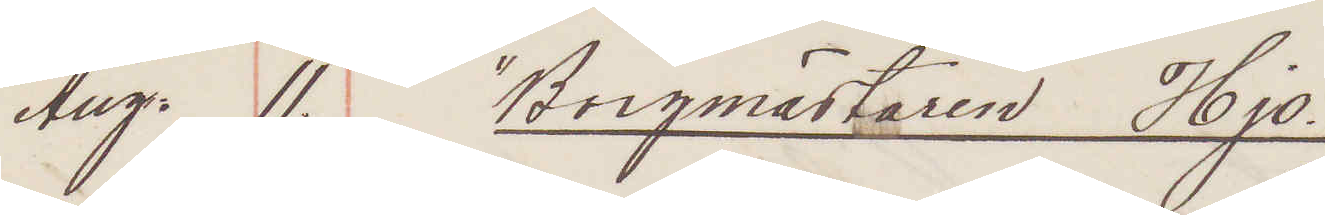Aug. 11. "Borgmästaren Hjo."
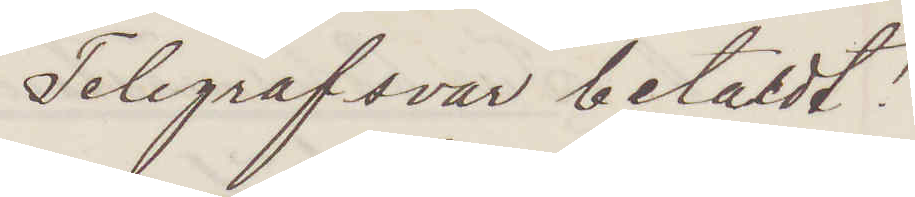Telegrafsvar betaldt!
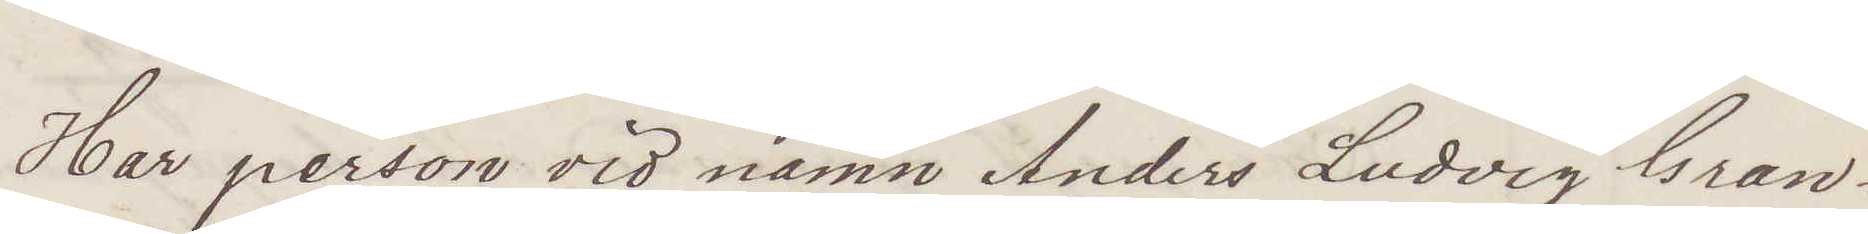Har person vid namn Anders Ludvig Gran¬
